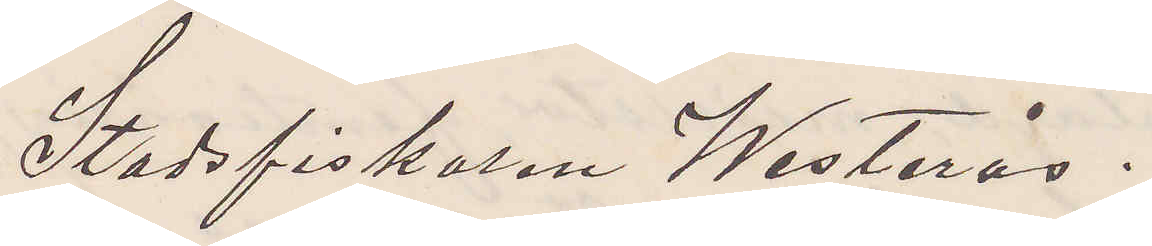Stadsfiskalen Westerås.
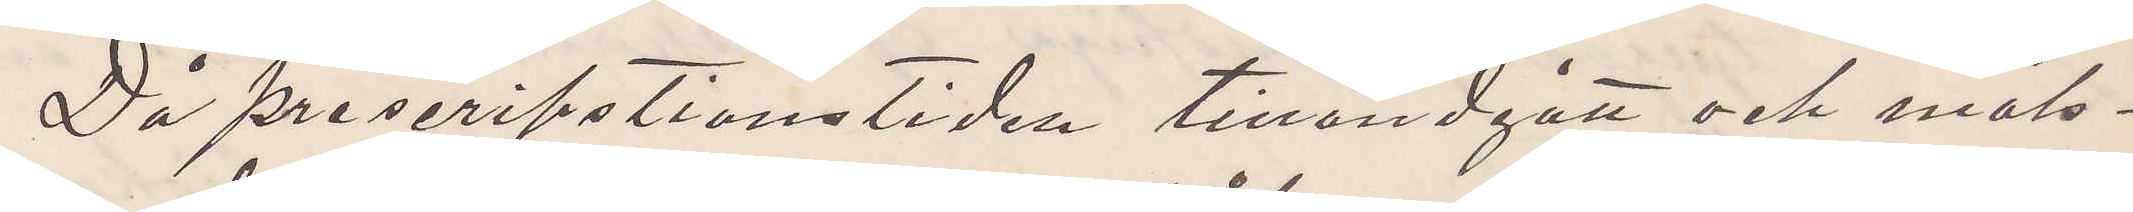Då prescripstionstiden tilländgått och måls¬
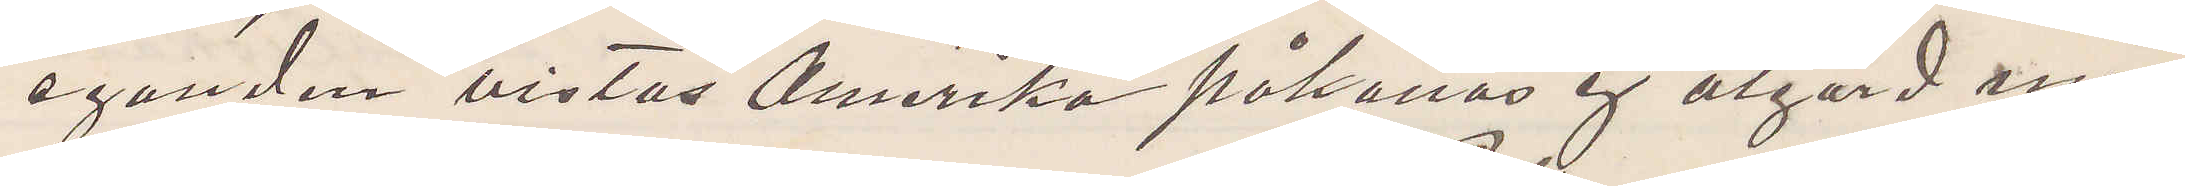eganden vistas Amerika påkallas ej åtgärd mot
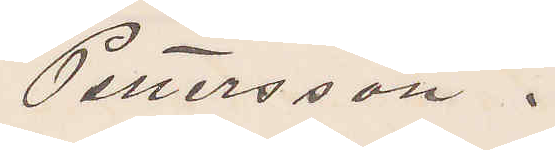Pettersson.
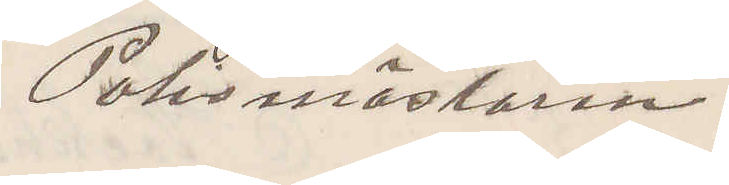Polismästaren
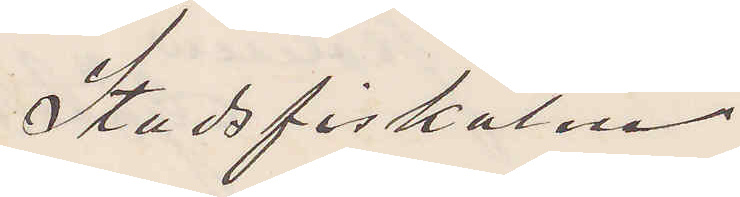Stadsfiskalen
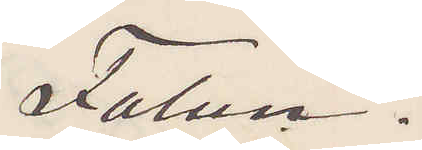Falun.
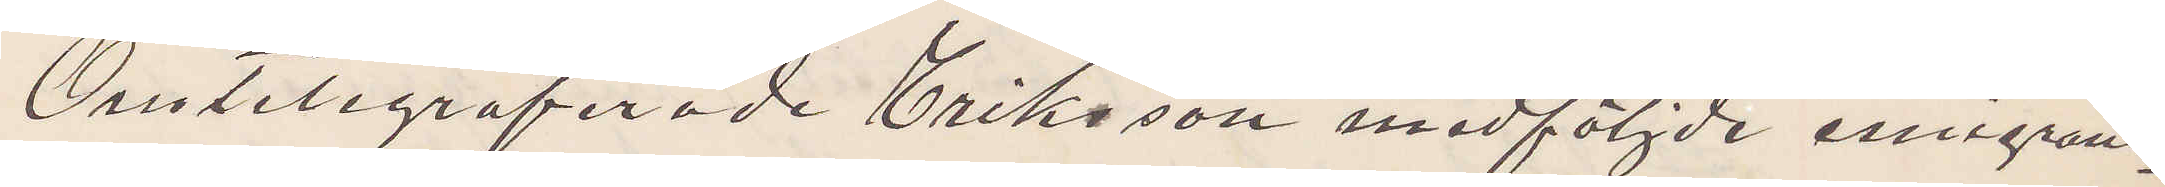Omtelegraferade Eriksson medföljde emigrant¬
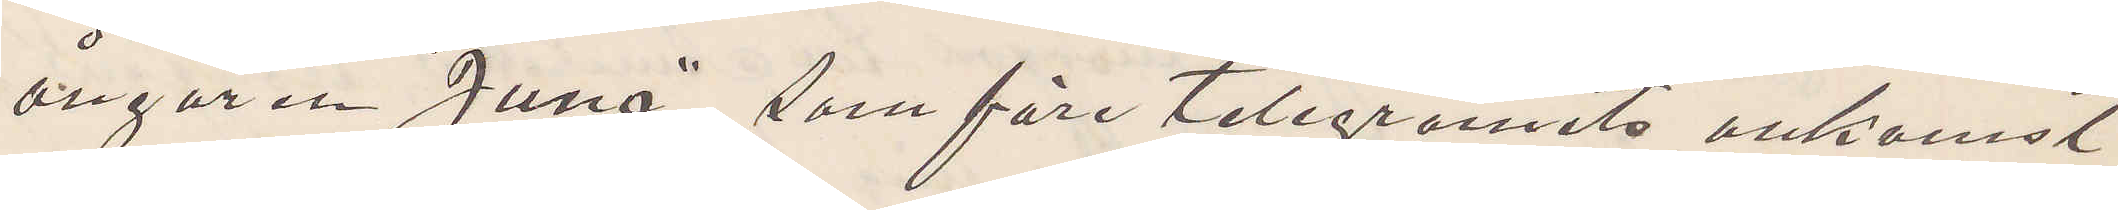ångaren "Juno", som före telegramets ankomst
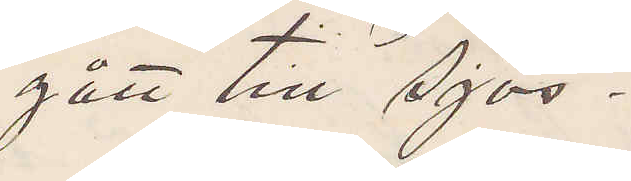gått till Sjös.
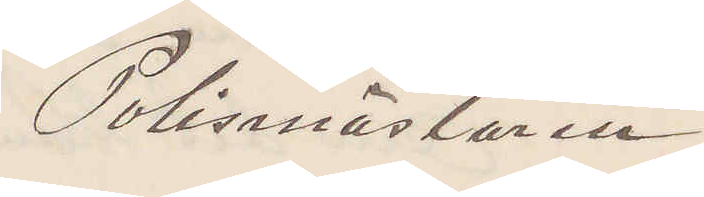Polismästaren
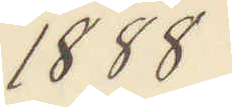1888.
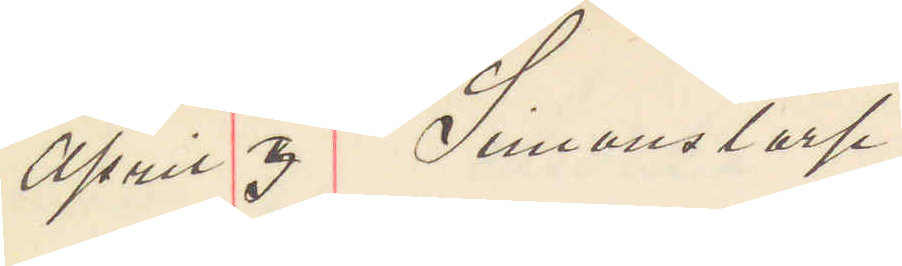April 3 Simonstorp.
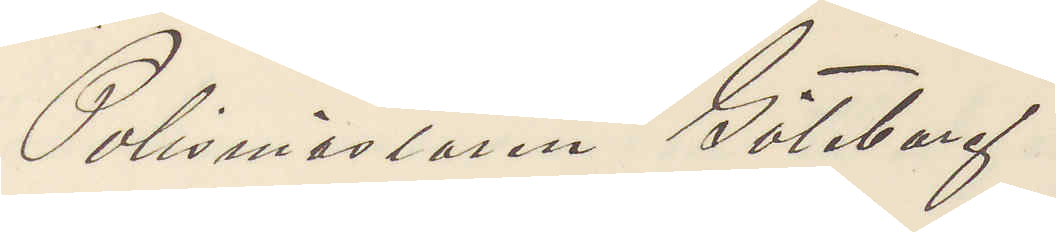Polismästaren Göteborg.
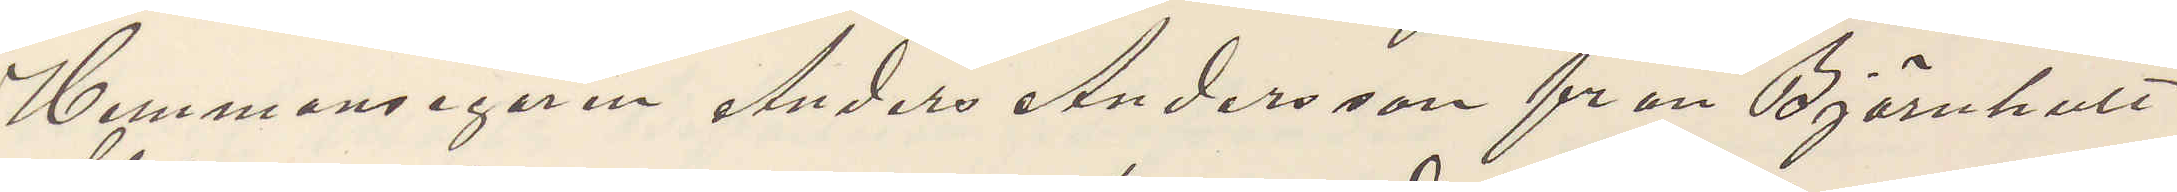Hemmansegaren Anders Andersson från Björnhult
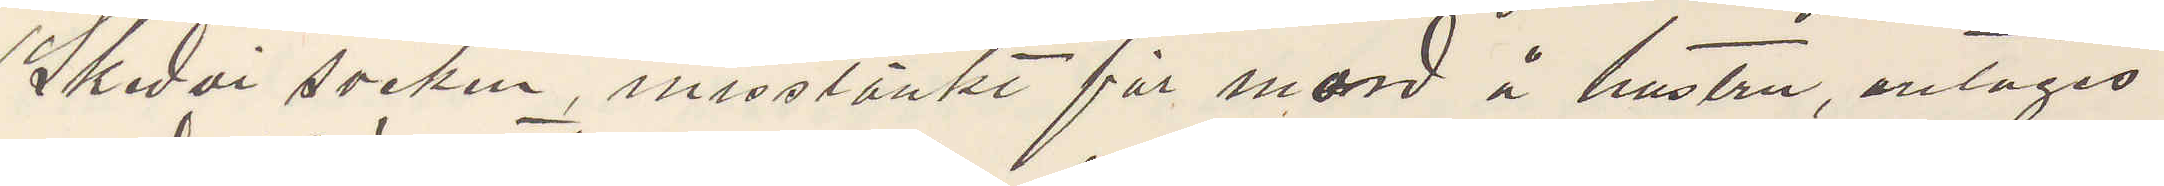Skedvi socken, misstänkt för mord å hustru, antages
